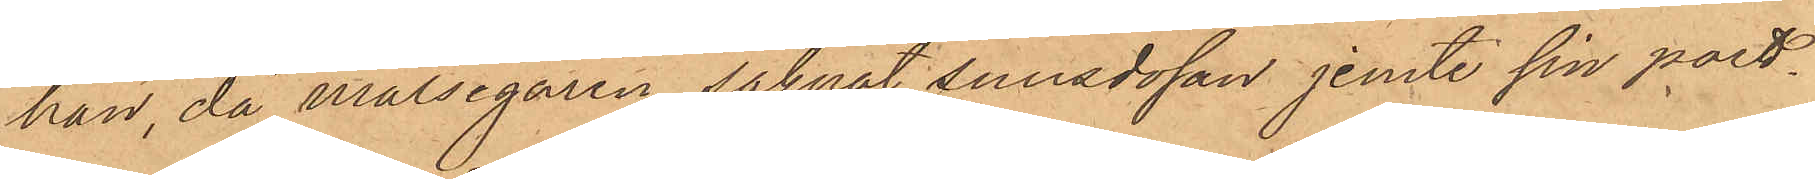han, då målsegaren saknat snusdosan jemte sin port¬
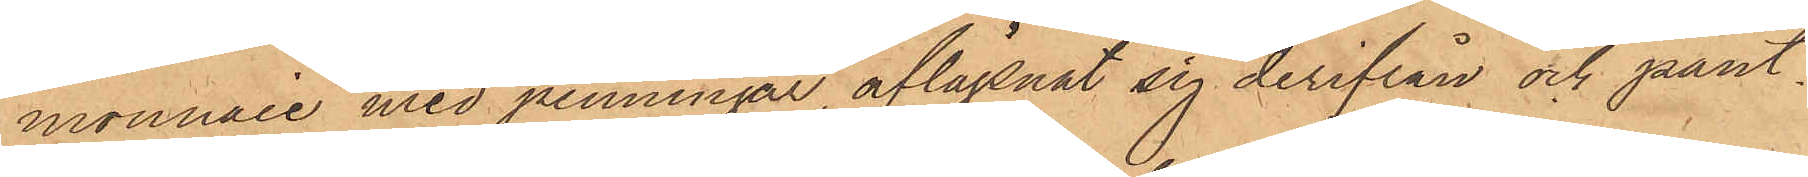monnaie med penningar aflägsnat sig derifrån och pant¬
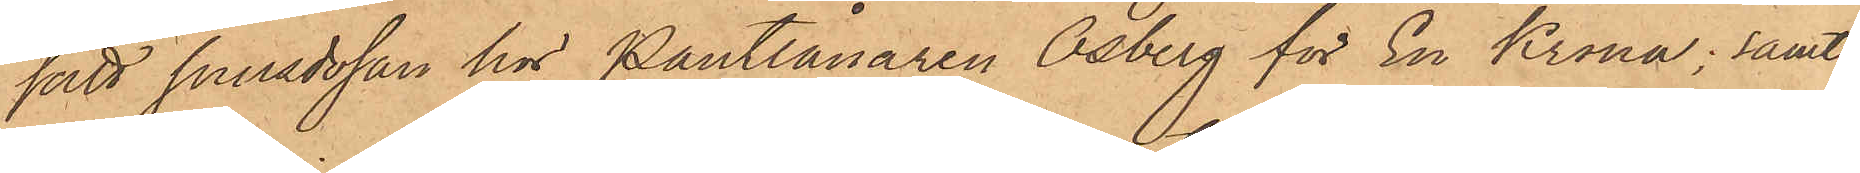satt snusdosan hos Pantlånaren Osberg för En Krona; samt
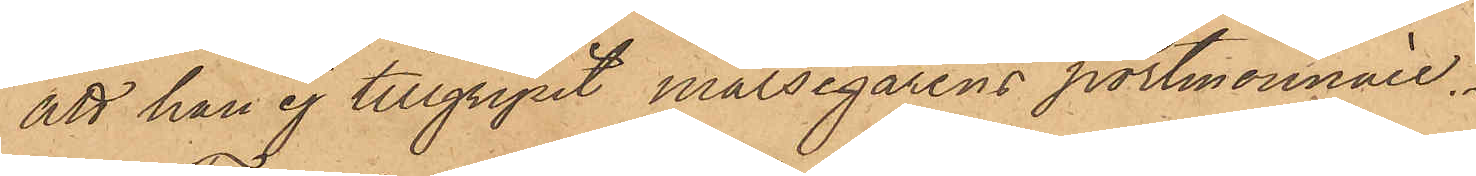att han ej tillgripit målsegarens portmonnaie.
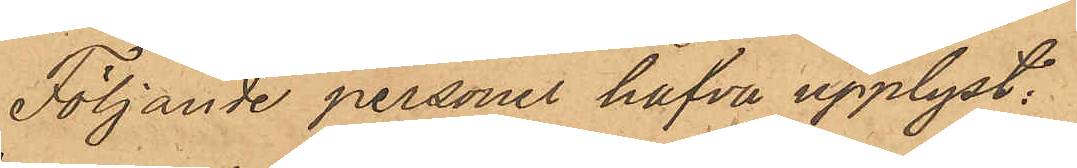Följande personer hafva upplyst:
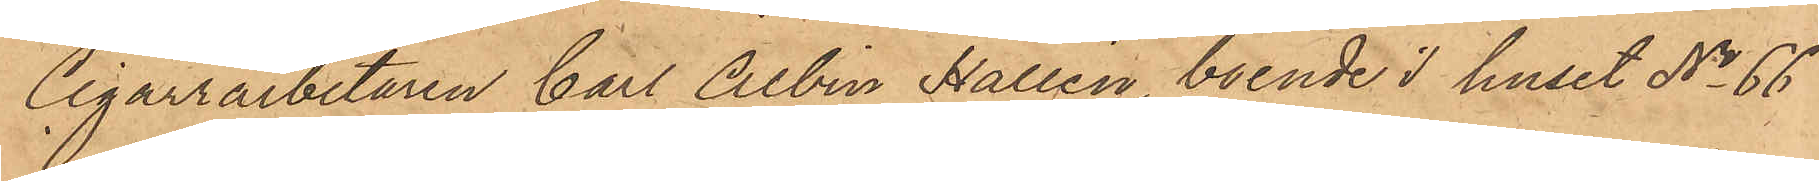Cigarrarbetaren Carl Albin Hallén, boende i huset No 66
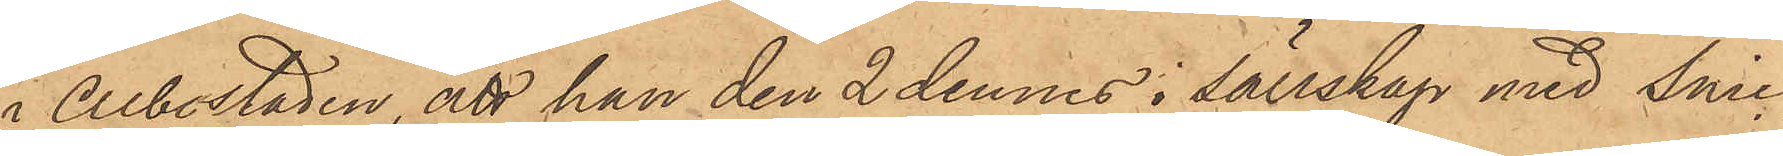i Albostaden, att han den 2 dennes i sällskap med Snic¬
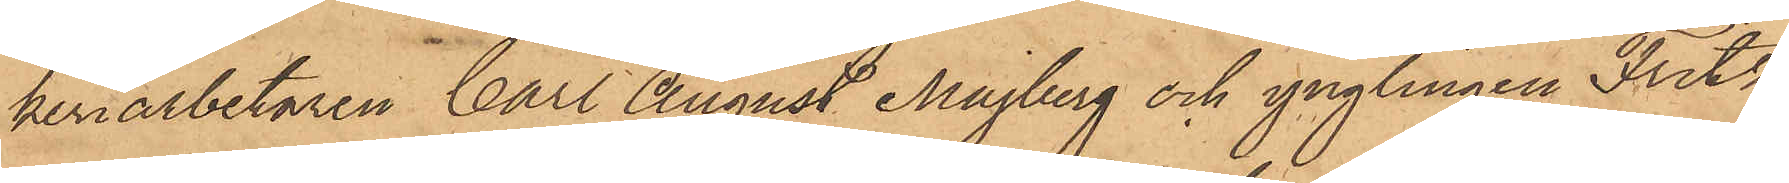keriarbetaren Carl August Majberg och ynglingen Fritz
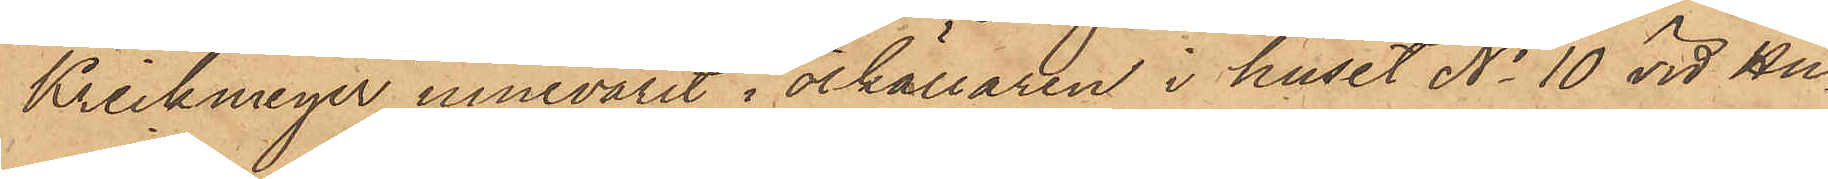Krickmeyer innevarit i ölkällaren i huset No 10 vid Hu¬
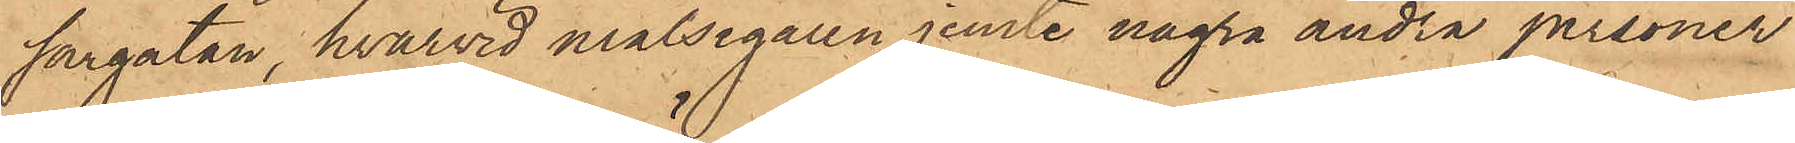sargatan, hvarvid målsegaren jemte några andra personer
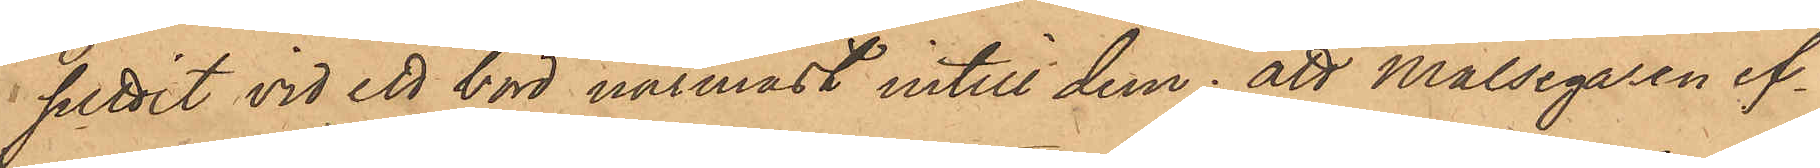suttit vid ett bord närmast intill dem; att Målsegaren ef¬
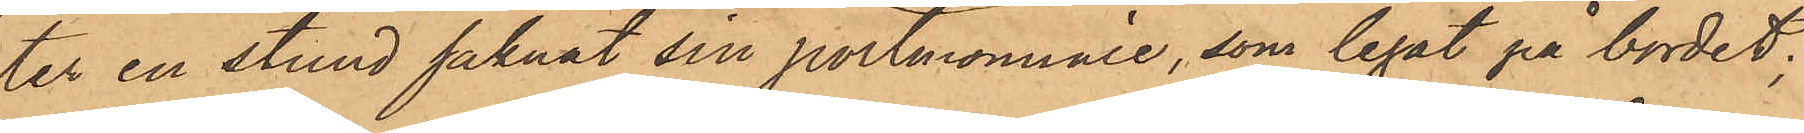ter en stund saknat sin portmonnaie, som legat på bordet;
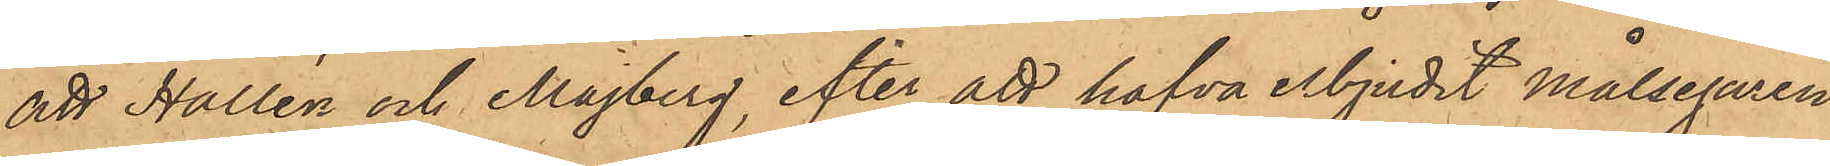att Hallén och Majberg, efter att hafva erbjudit målsegaren
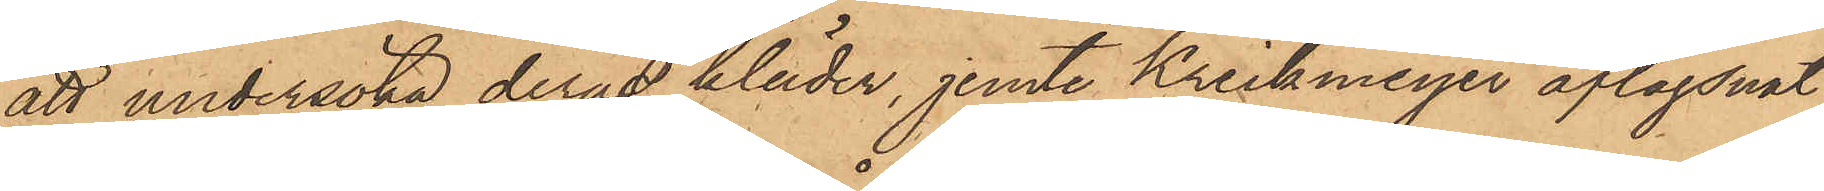att undersöka deras kläder, jemte Krickmeyer aflägsnat
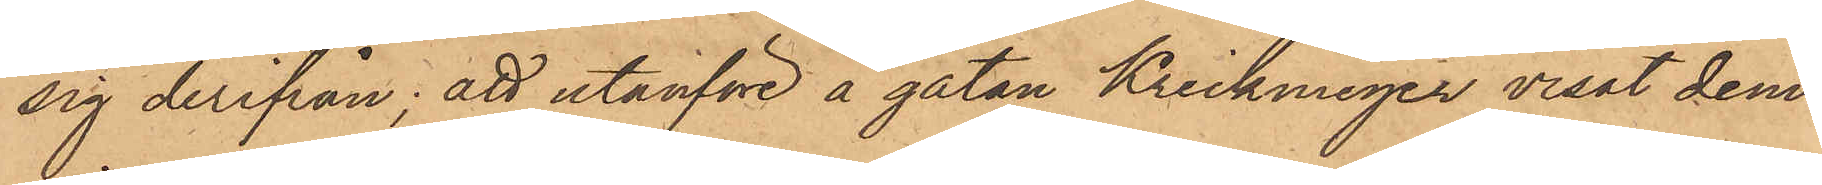sig derifrån; att utanföre å gatan Krickmeyer visat dem
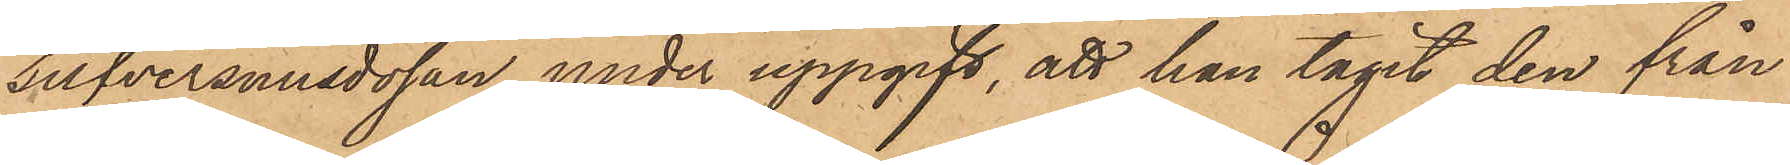silfversnusdosan, under uppgift, att han tagit den från
